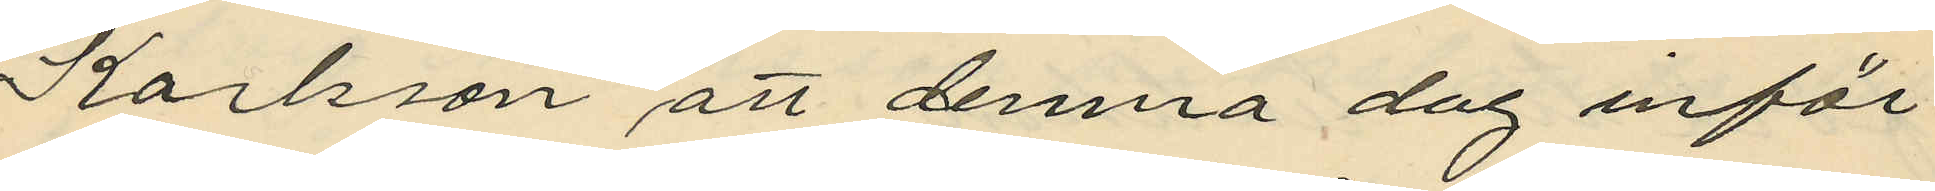Karlsson att denna dag inför
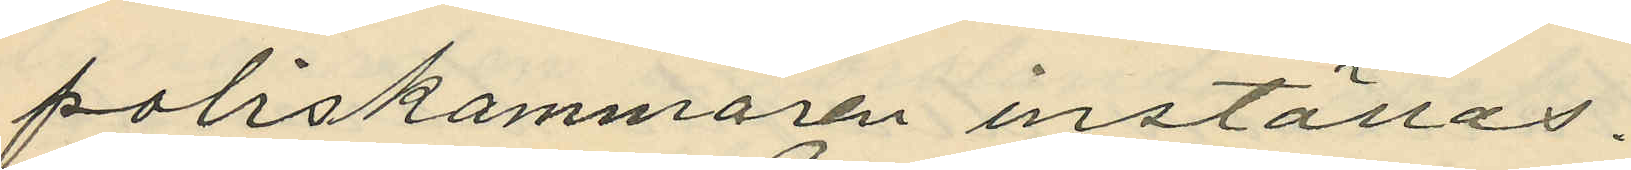poliskammaren inställas.
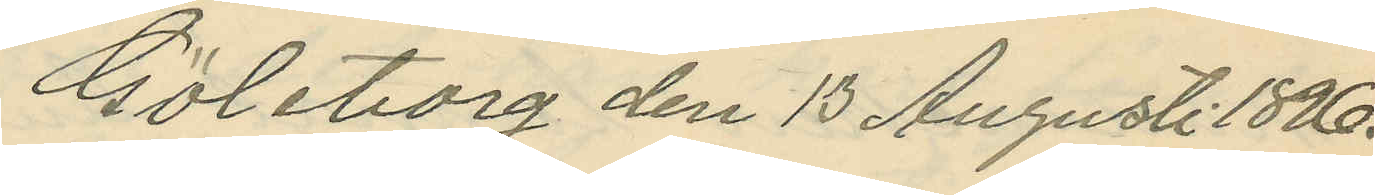Göteborg den 13 Augusti 1896.
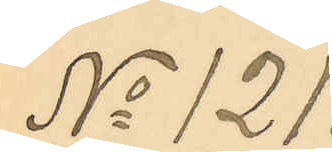No 121.
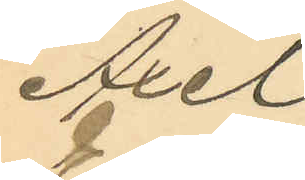Axel
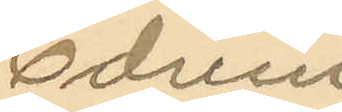Edvin
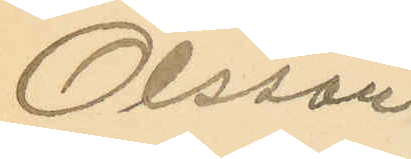Olsson
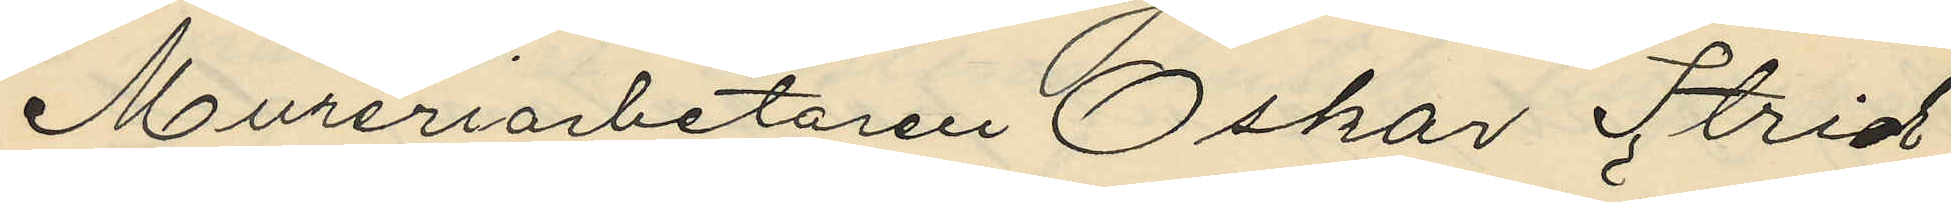Mureriarbetaren Oskar Strid,
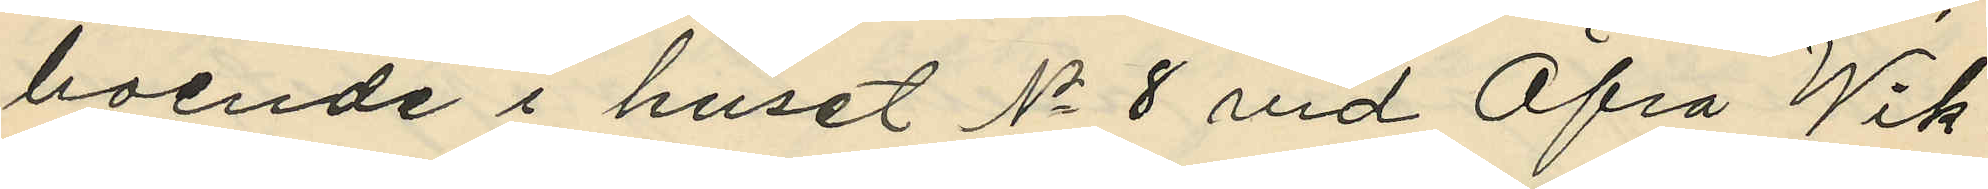boende i huset No 8 vid Öfra Wik¬
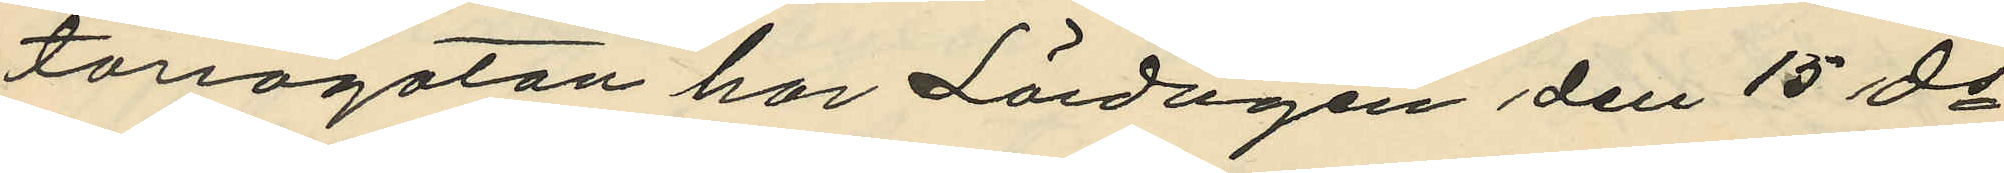toriagatan har Lördagen den 15 ds
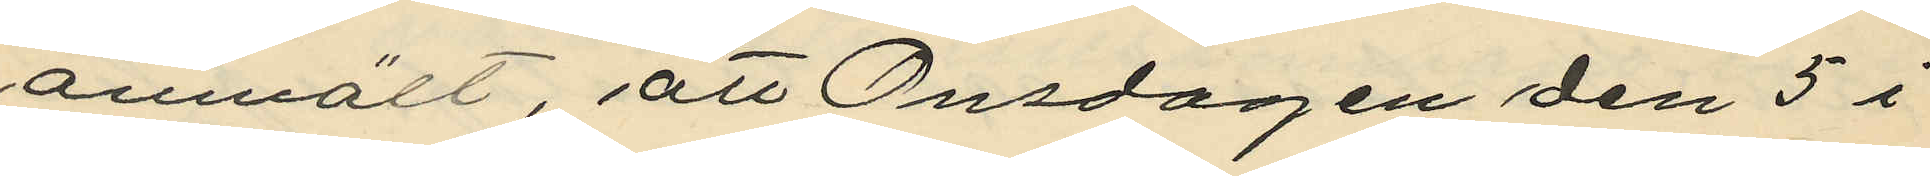anmält, att Onsdagen den 5 i
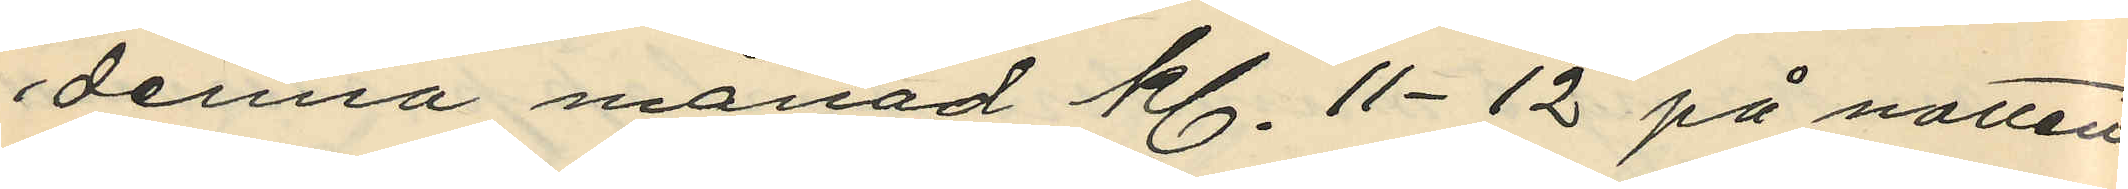denna månad kl. 11-12 på natten
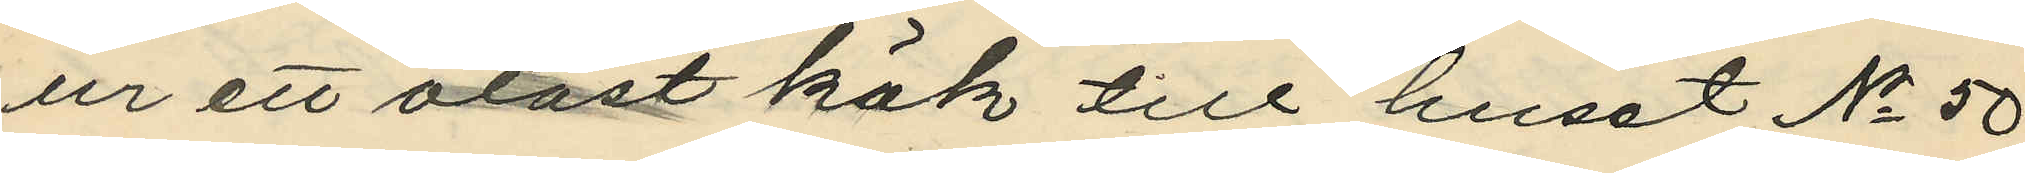ur ett olåst kök till huset No 50
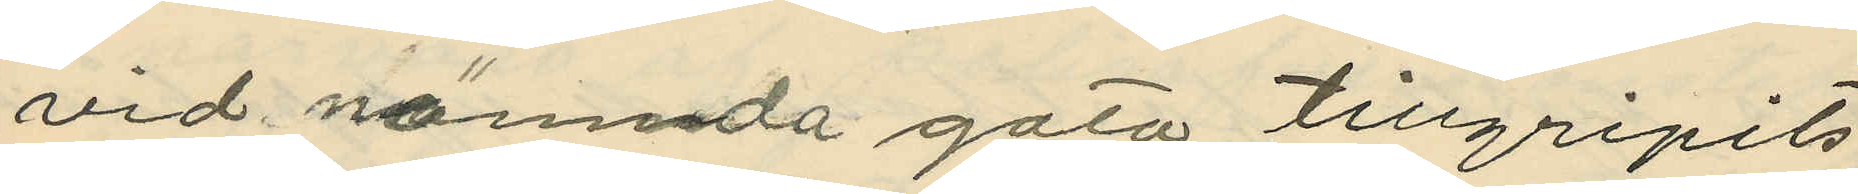vid nämnda gata tillgripits
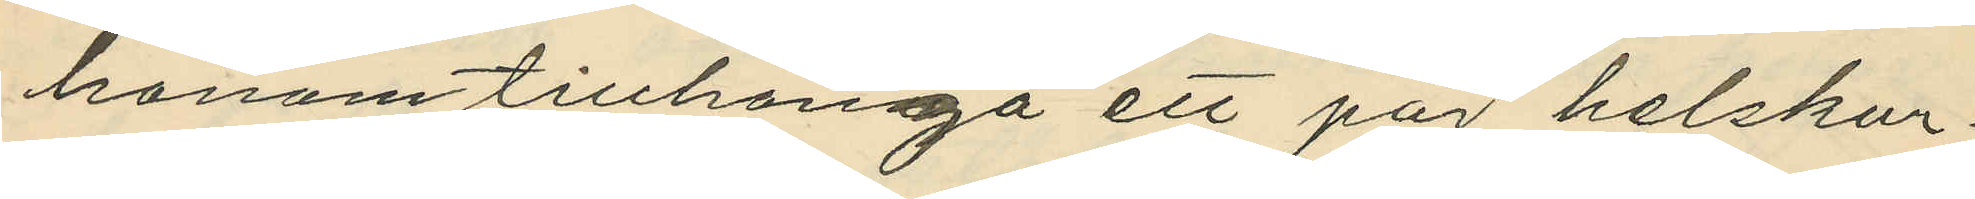honom tillhöriga ett par helskur¬
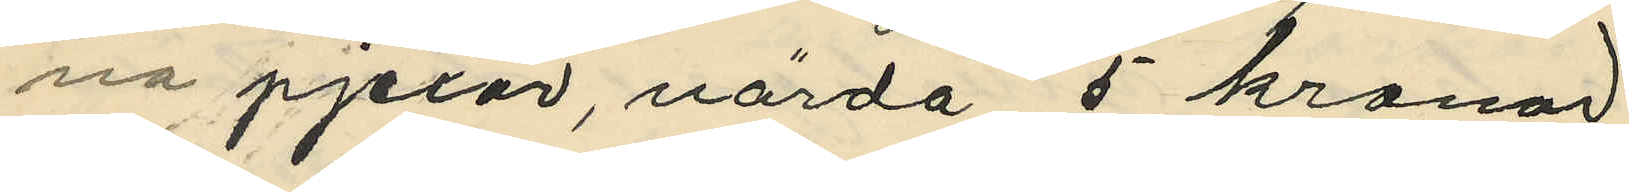na pjexor, värda 5 kronor
